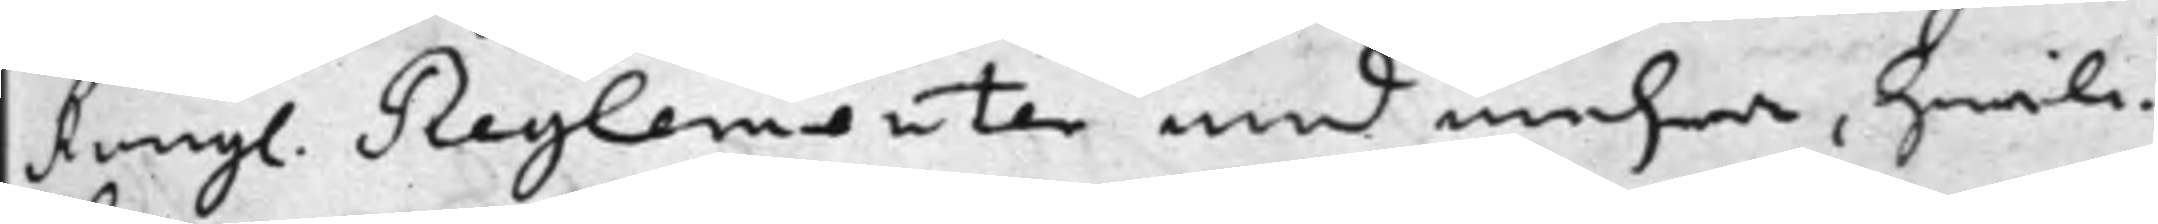Kongl. Reglementer med mehra, hwilc¬
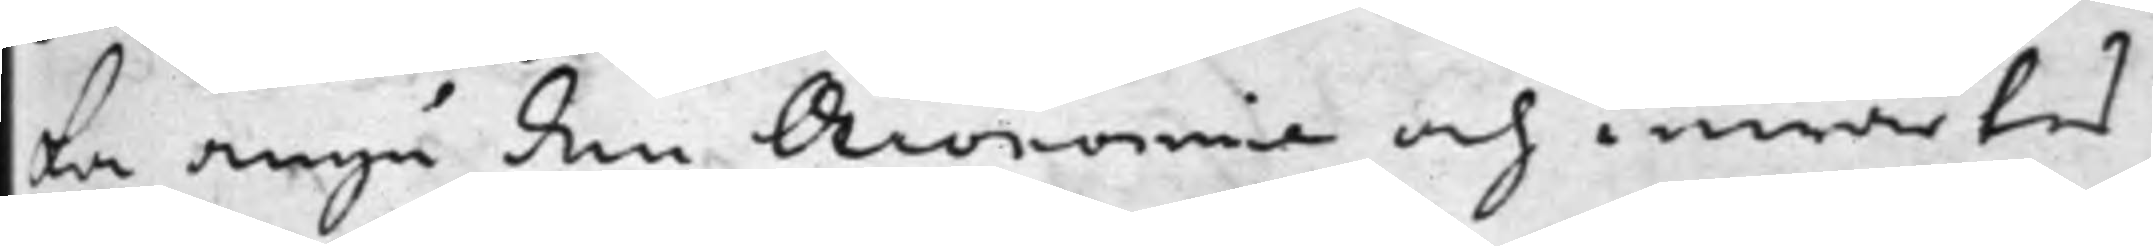ka angå den Oeconomie och inwärtes
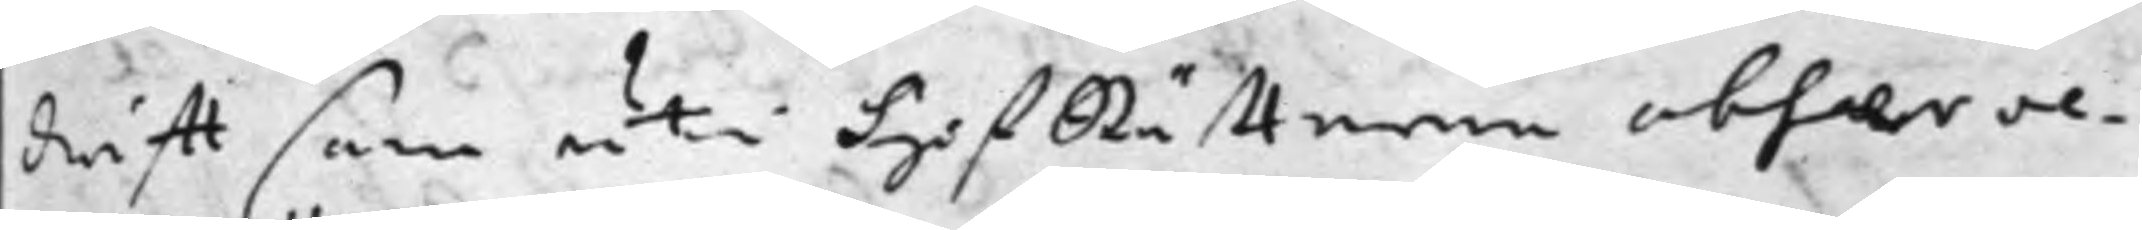drifft som uti HofRätterne observe¬
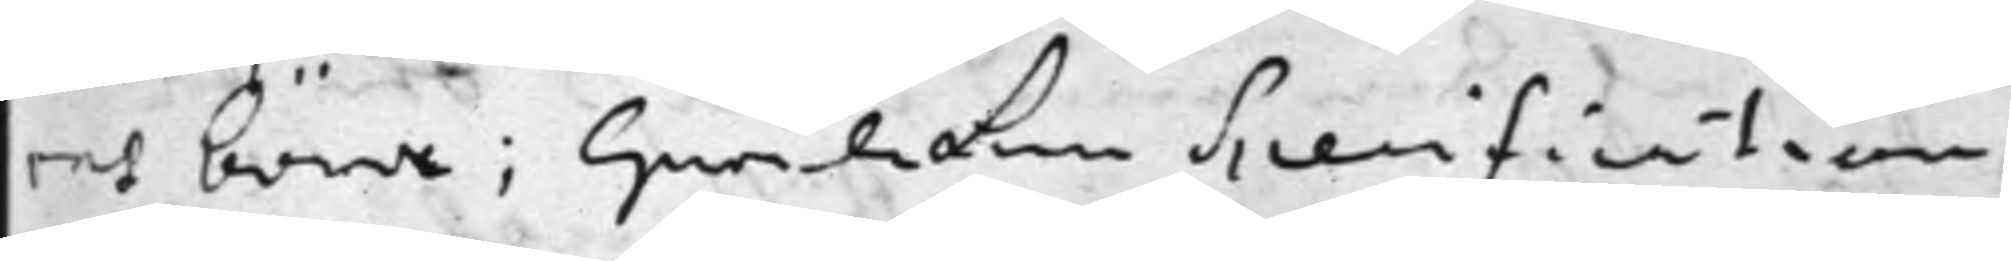ras böra; Hwilcken Specification
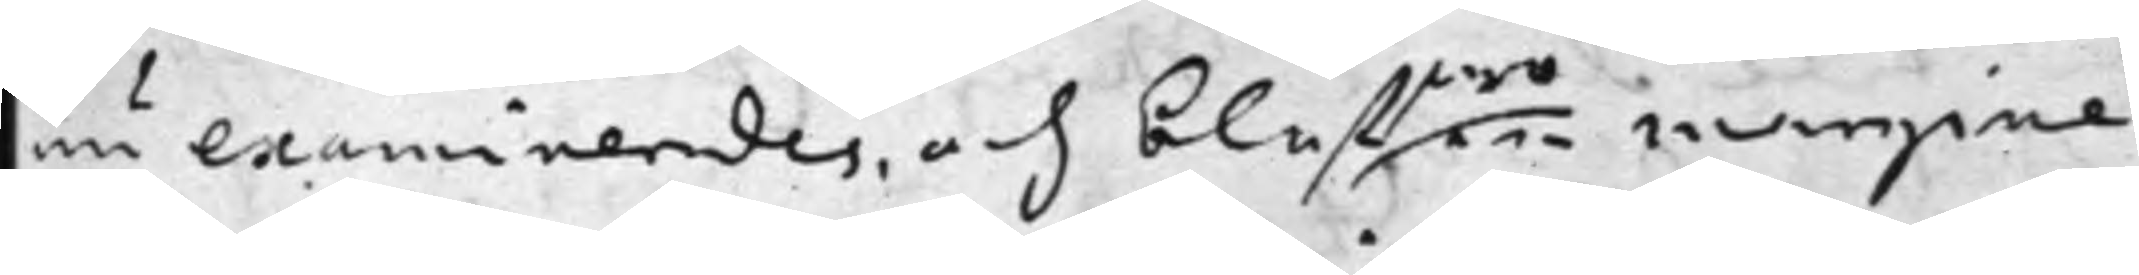nu examinerades och blefwo som margine
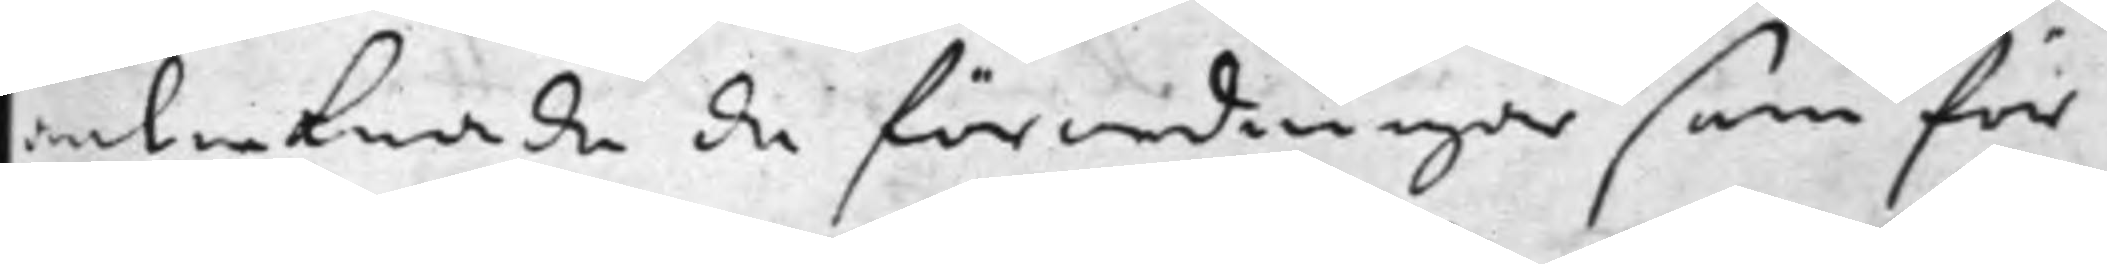antecknade de förordningar som för
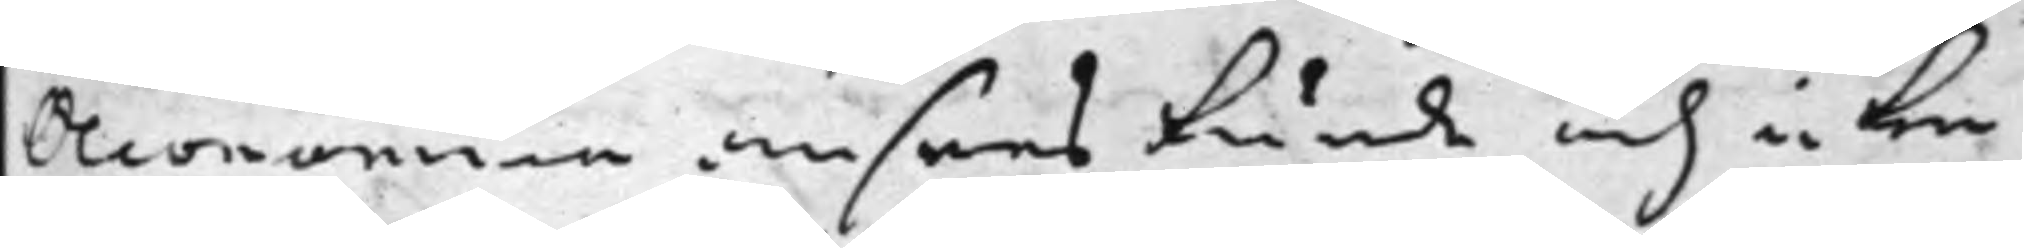Oeconomien ansees kunde och icke
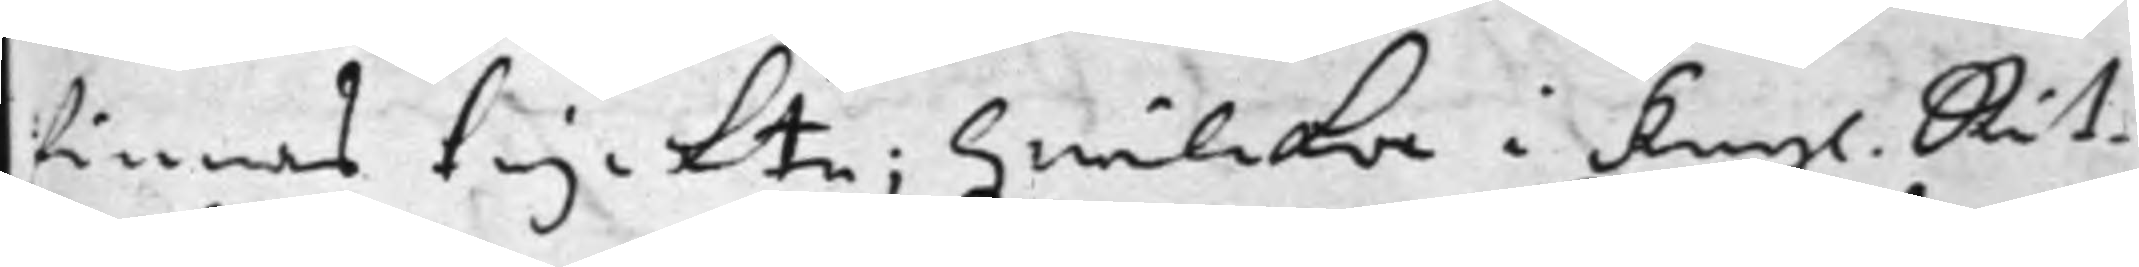finnas tryckte; Hwilcka i Kongl. Rät¬
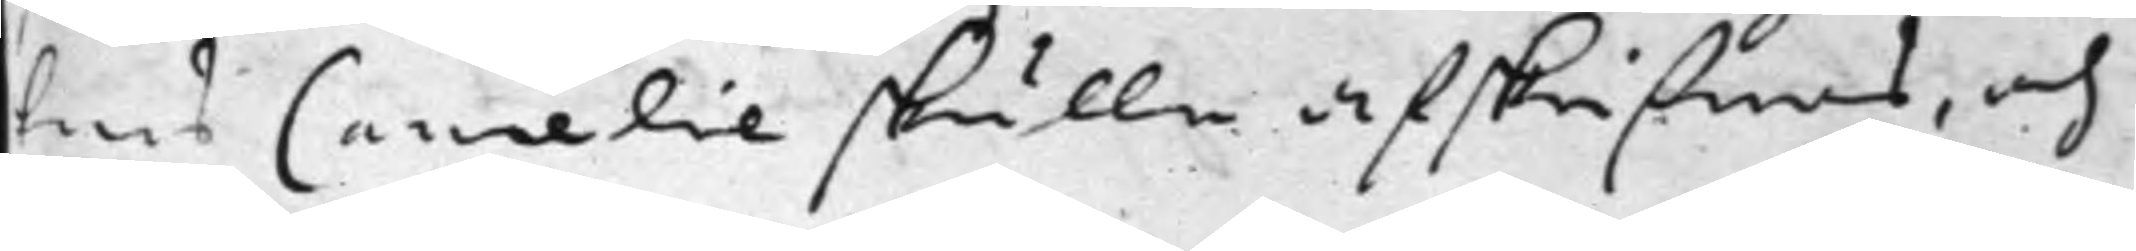tens Cancelie skulle afskrifwas, och
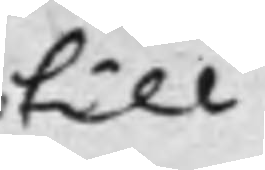till
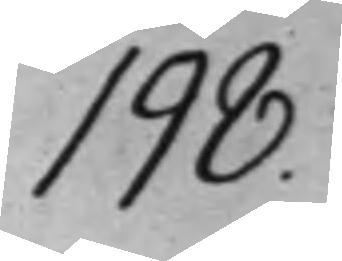198.
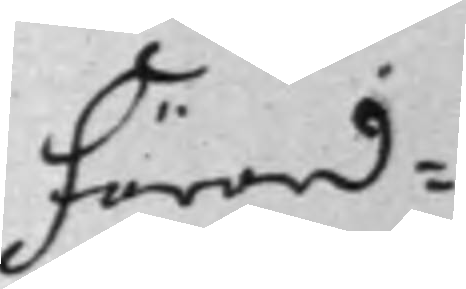Förord¬
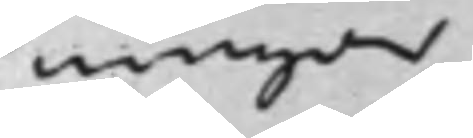ningar
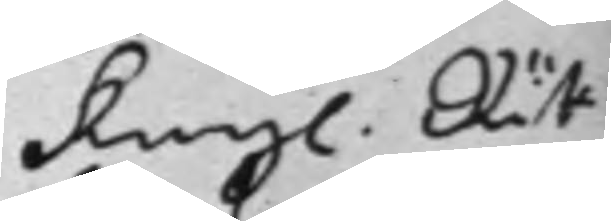Kongl. Rät¬
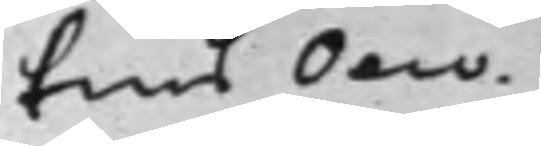tens Oeco¬
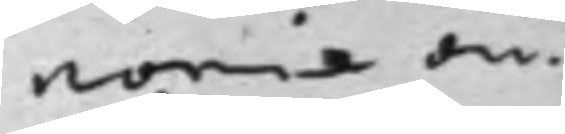nomie an¬
